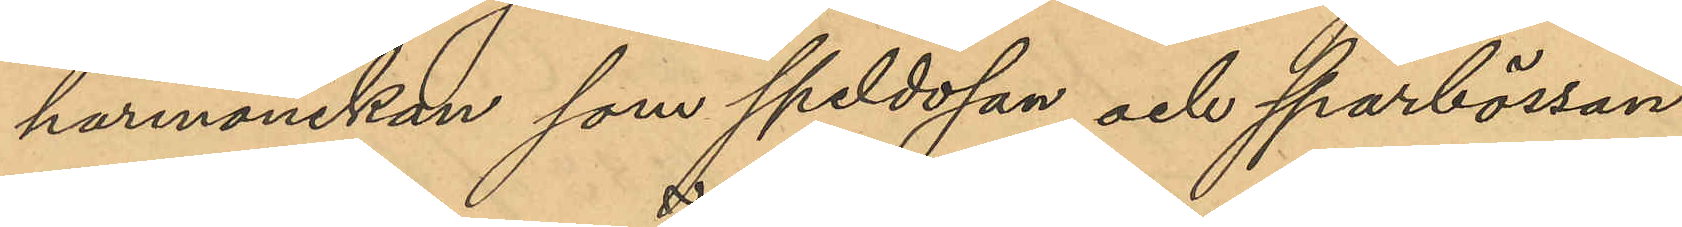harmonikan som speldosan och sparbössan,
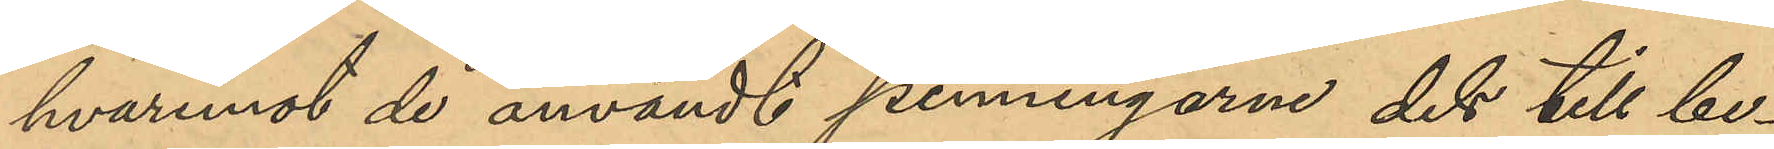hvaremot de användt penningarne dels till be¬
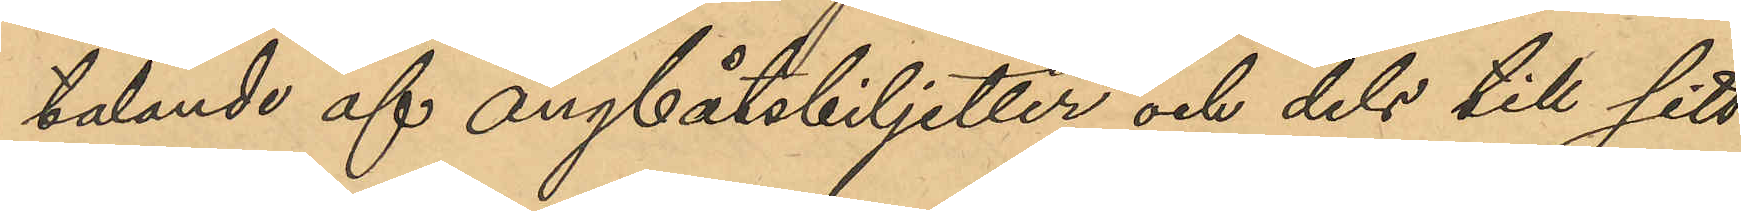talande af ångbåtsbiljetter och dels till sitt
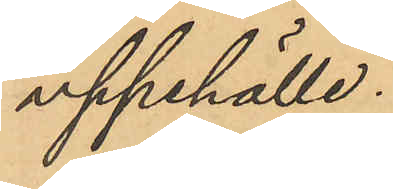uppehälle.
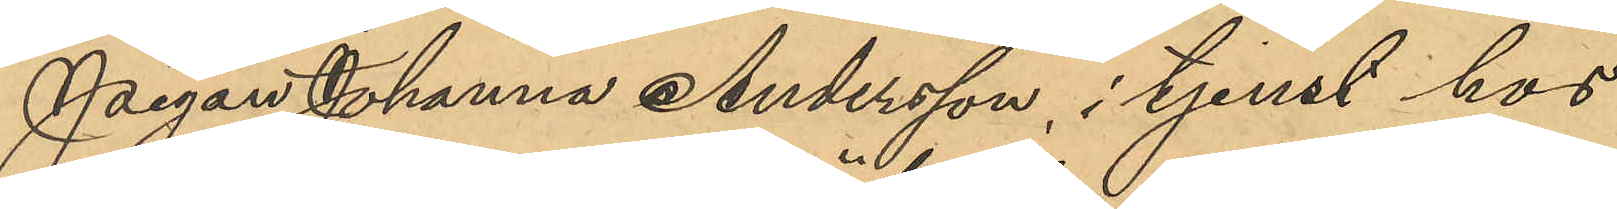Pigan Johanna Andersson, i tjenst hos
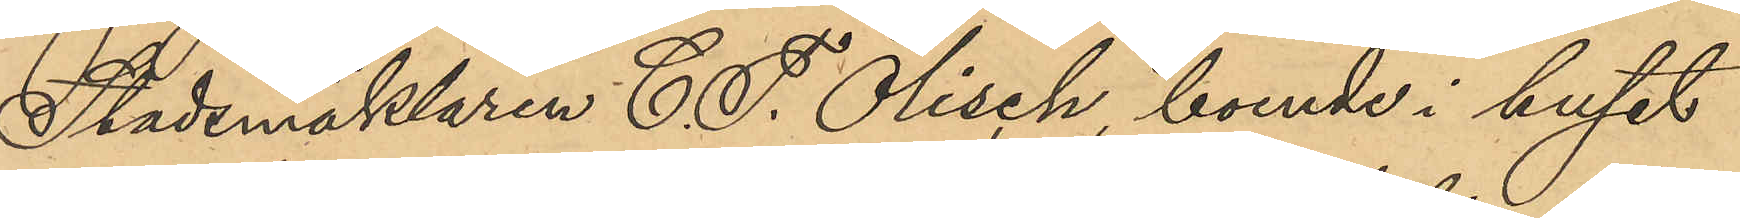Stadsmäklaren E. F. Ölisch, boende i huset
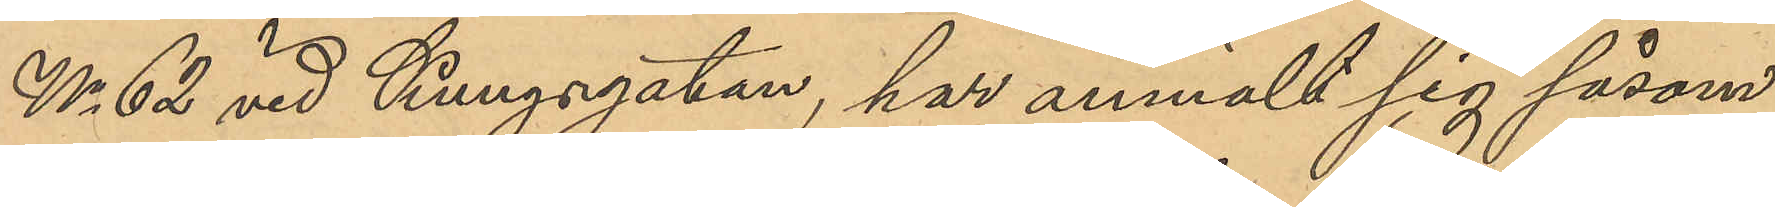No 62 vid Kungsgatan, har anmält sig såsom
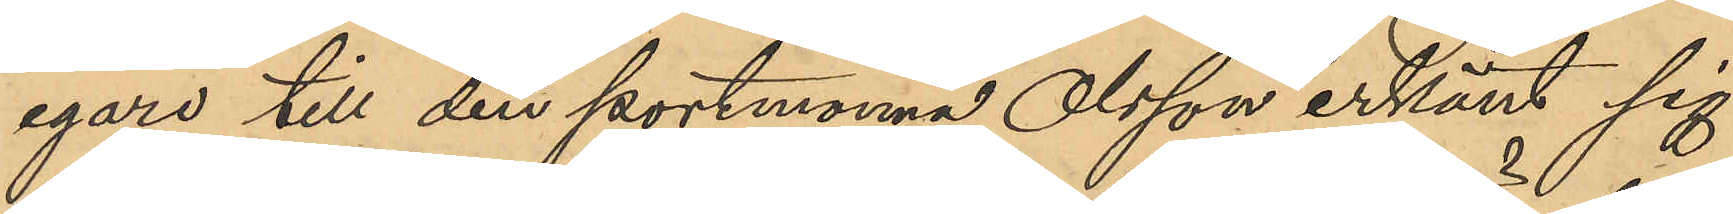egare till den portmonnä Olsson erkänt sig
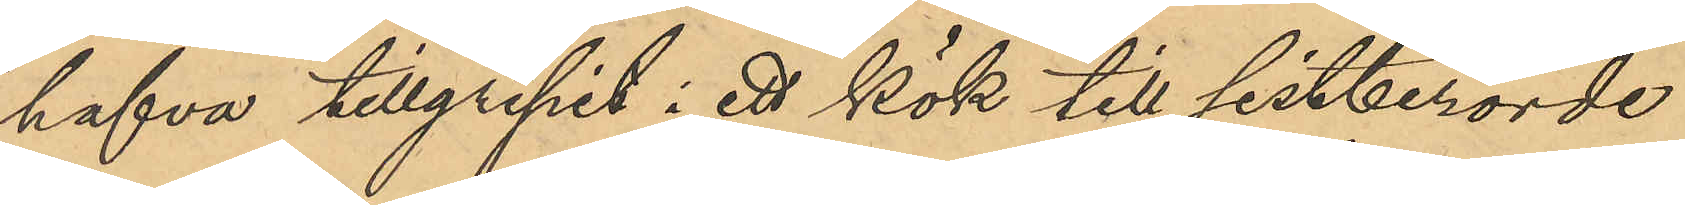hafva tillgripit i ett kök till sistberörde
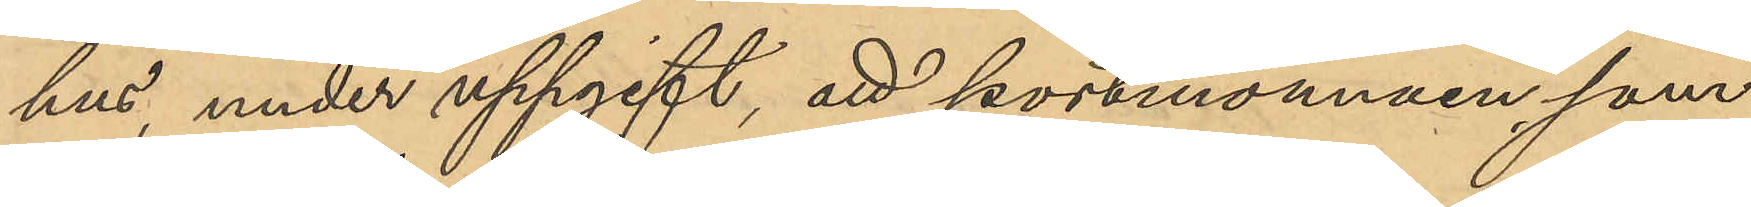hus, under uppgift, att portmonnäen som 
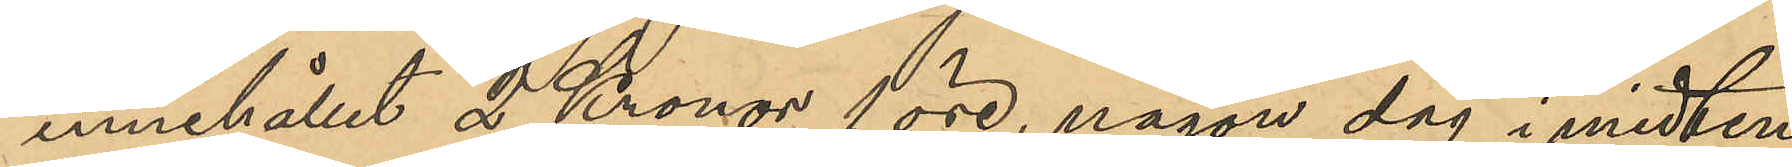innehållit 2 Kronor 1 öre, någon dag i midten
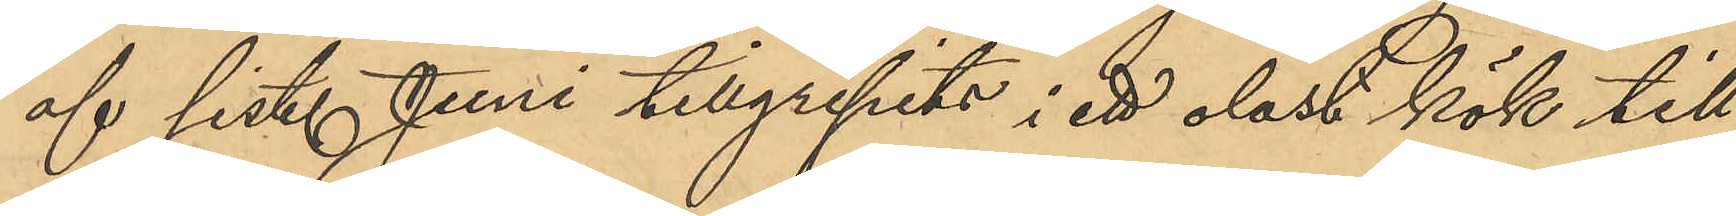af sist. Juni tillgripits i ett olåst kök till
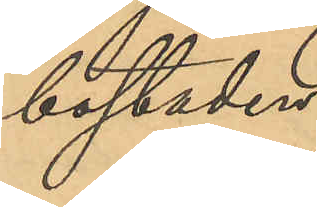bostaden.
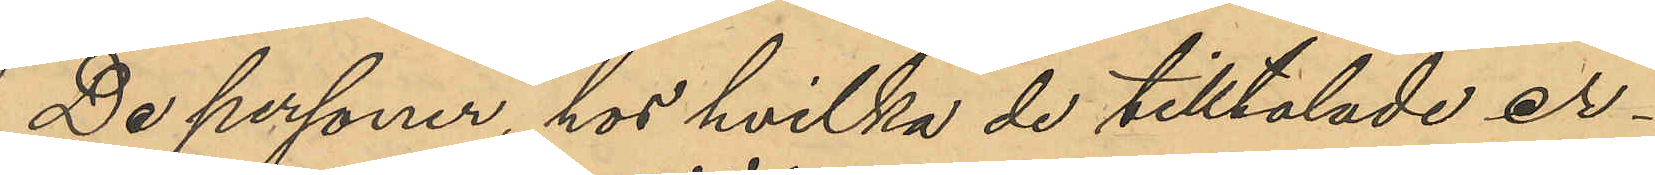De personer, hos hvilka de tilltalade er¬
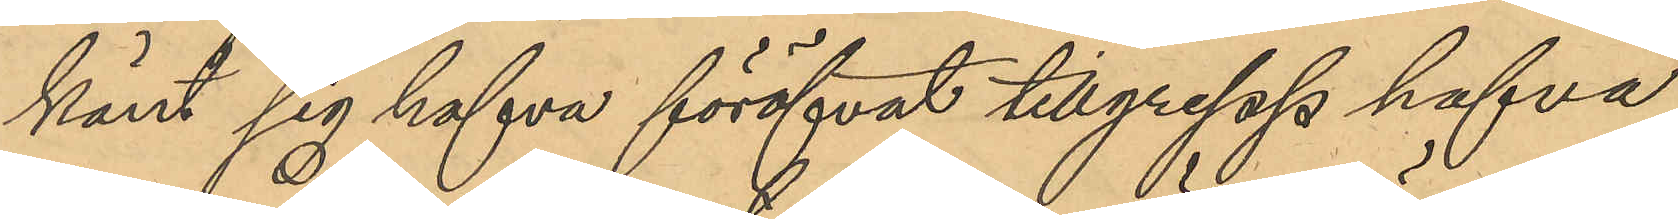känt sig hafva föröfvat tillgrepp hafva
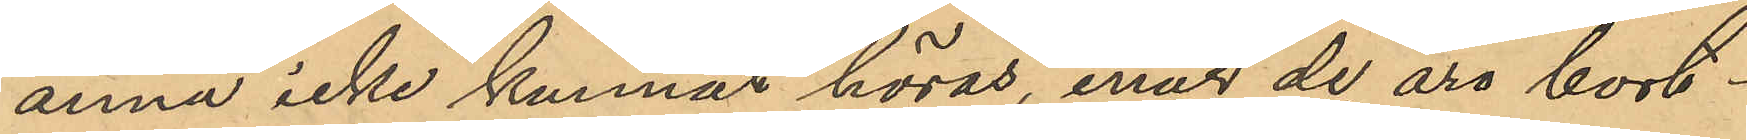ännu icke kunnat höras, enär de äro bort¬
